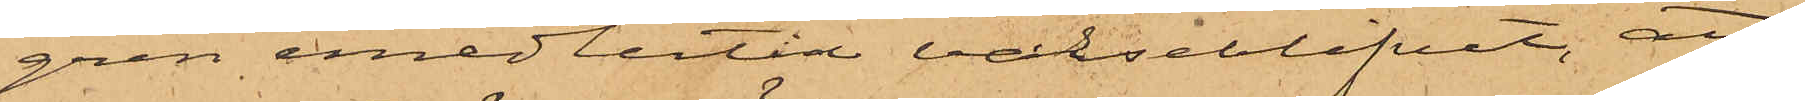gren emedlertid varseblifvit, att
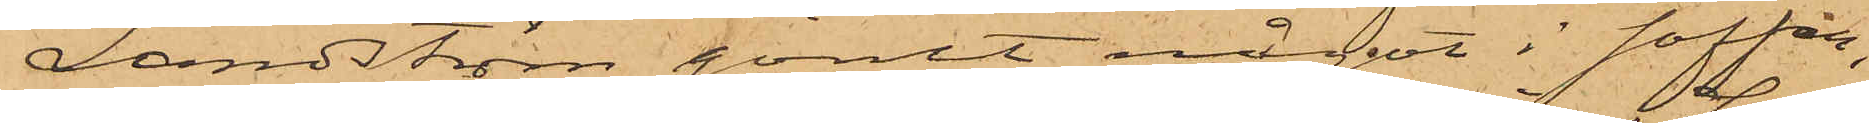Landström gömt något i soffan,
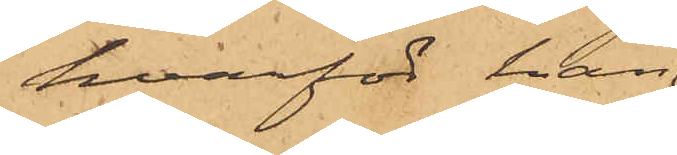hvarför han
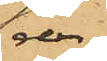der
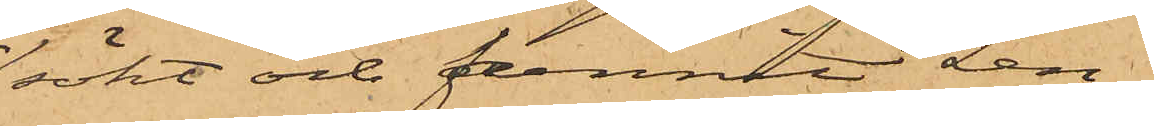sökt och funnit Len¬
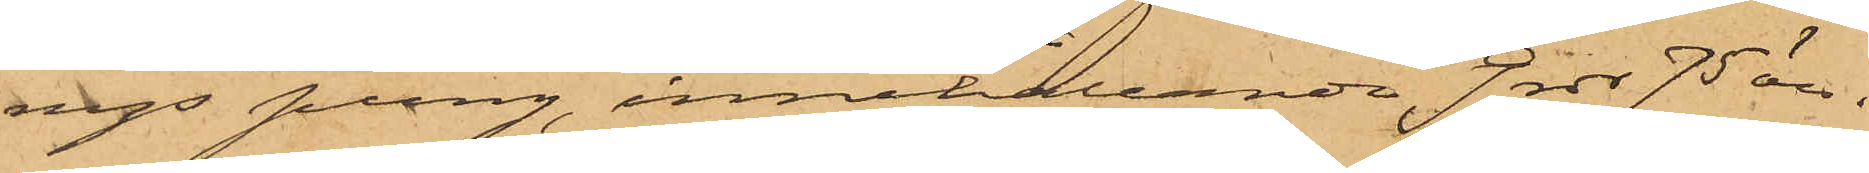nys pung, innehållande 9 rdr 75 öre.
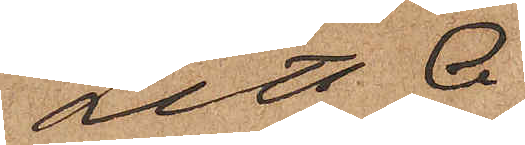Litt A.
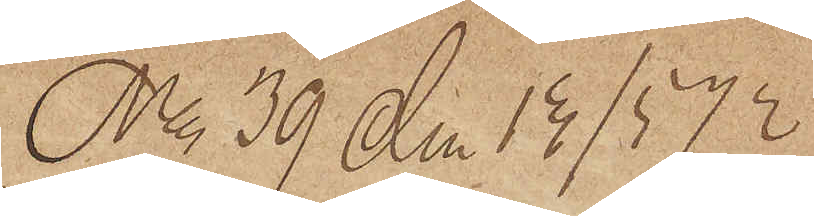No 39 den 13/5 72
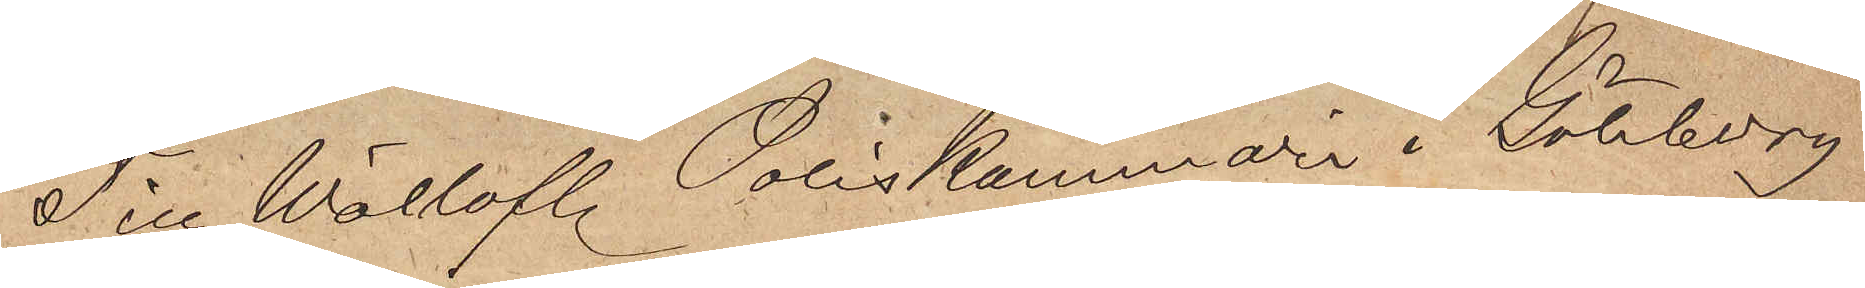Till Wällofl. Poliskammari i Göteborg
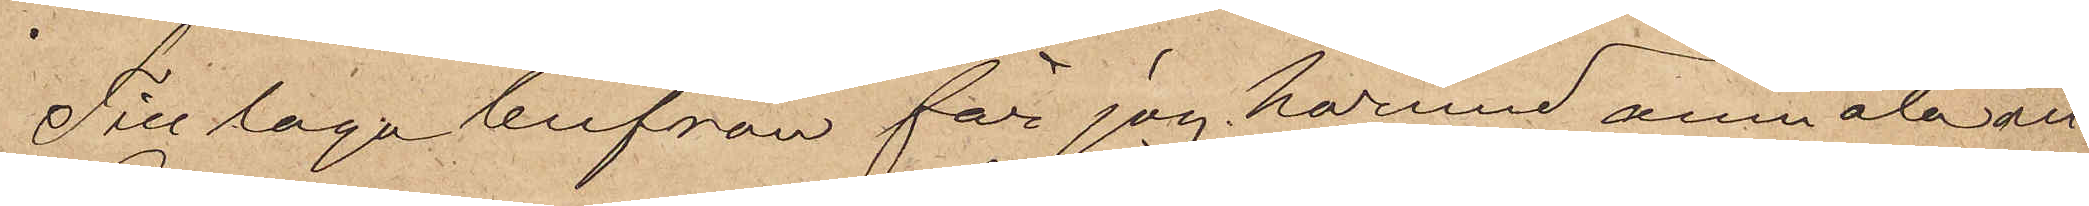Till laga beifran får jag härmed anmäla att
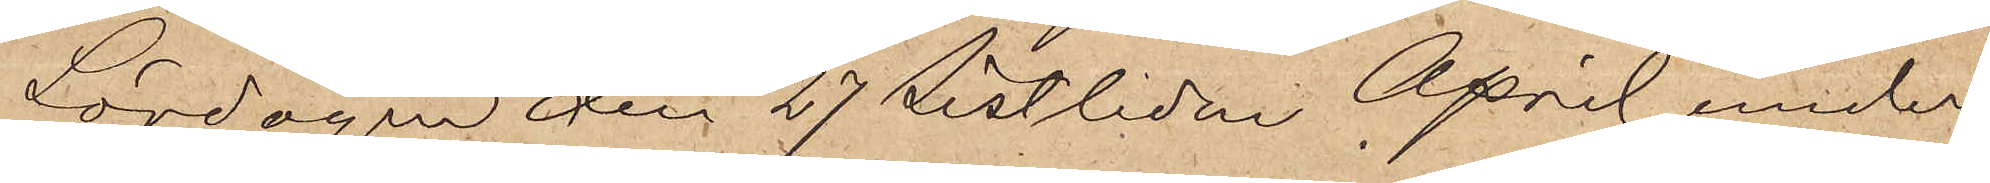Lördagen den 27 sistlidne April under
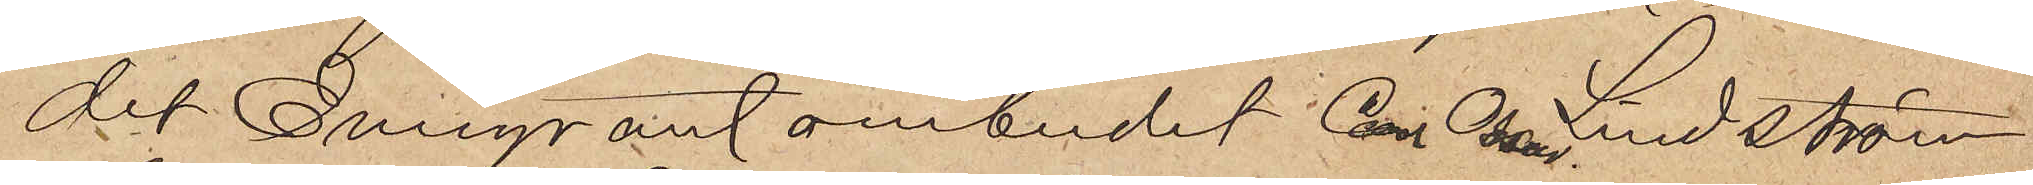det Emigrantombudet Carl Oscar Lindström
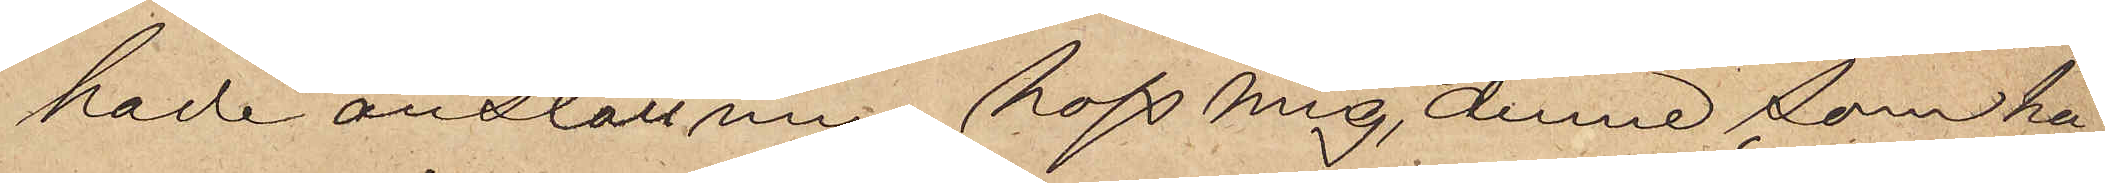hade anställning hoss mig, denne som ha¬
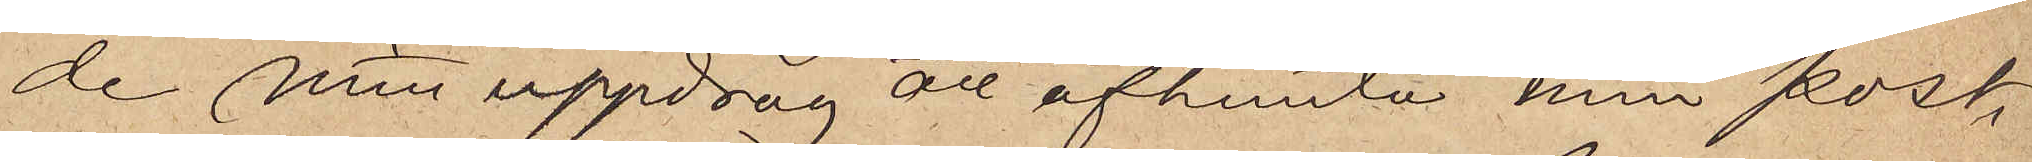de mitt uppdrag att afhemta min post,
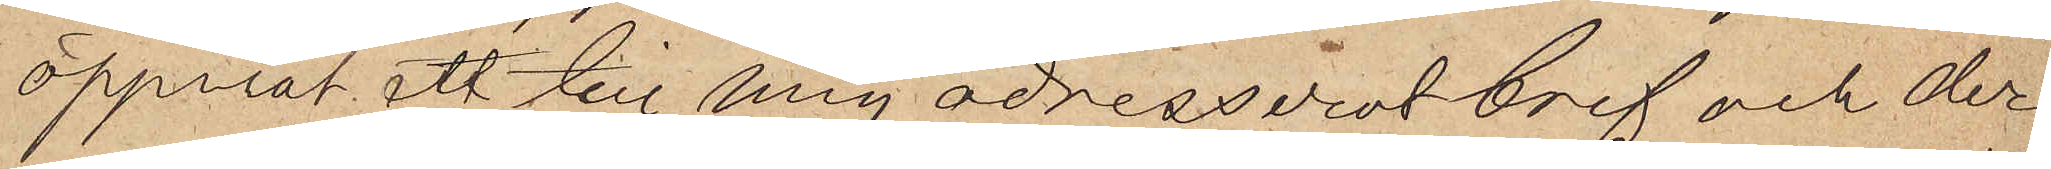öppnat ett till mig adresserat bref och der¬
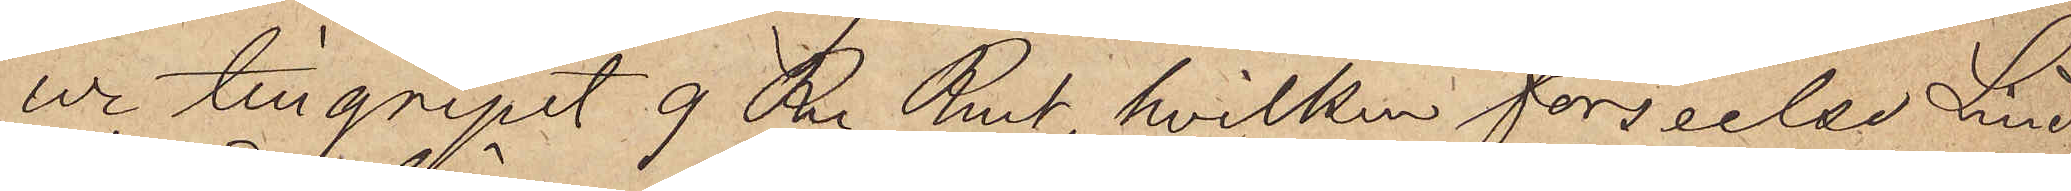ur tillgripit 9 R. Rmt, hvilken förseelse Lind¬
